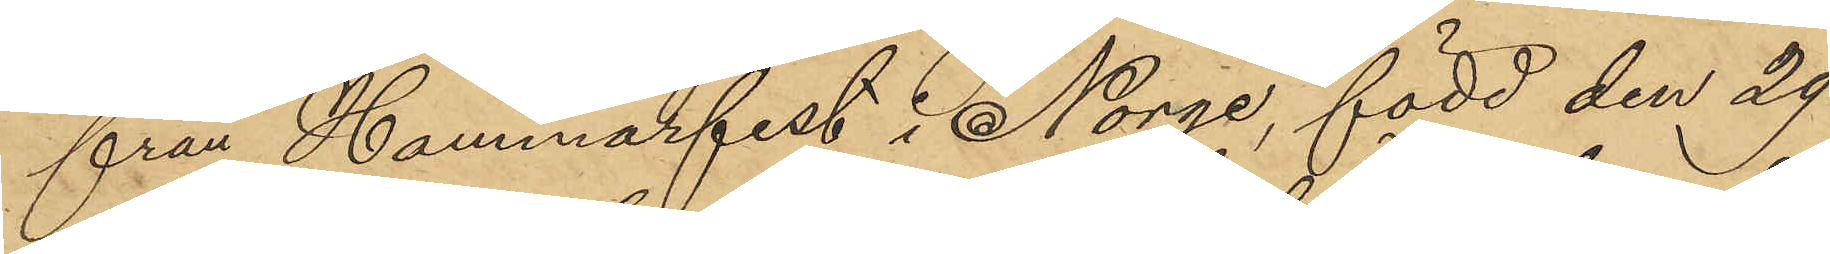från Hammarfest i Norge, född den 29
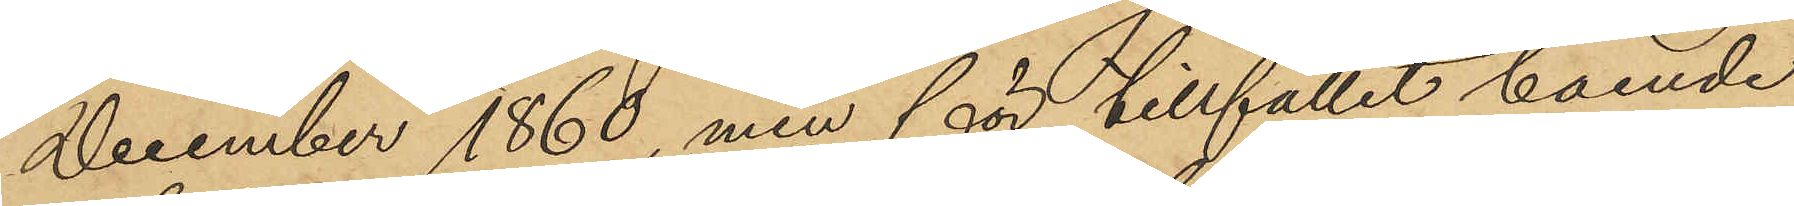December 1860, men för tillfället boende
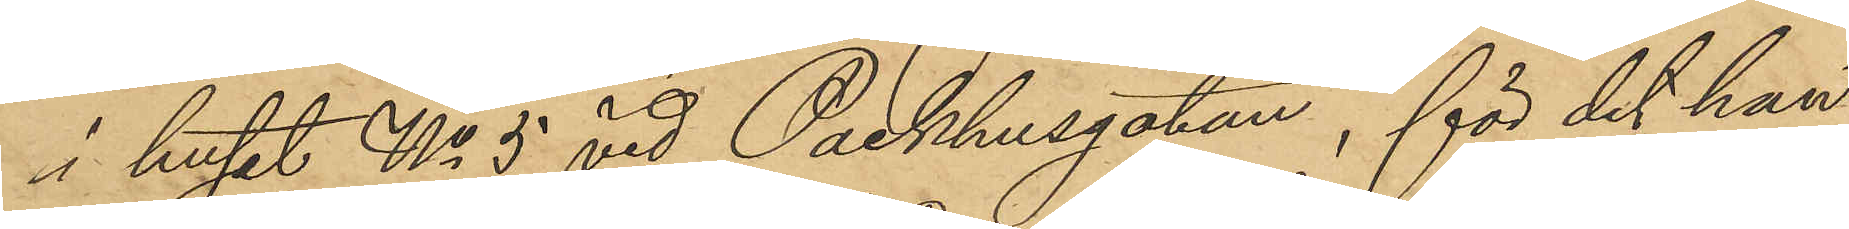i huset No 5 vid Packhusgatan, för det han
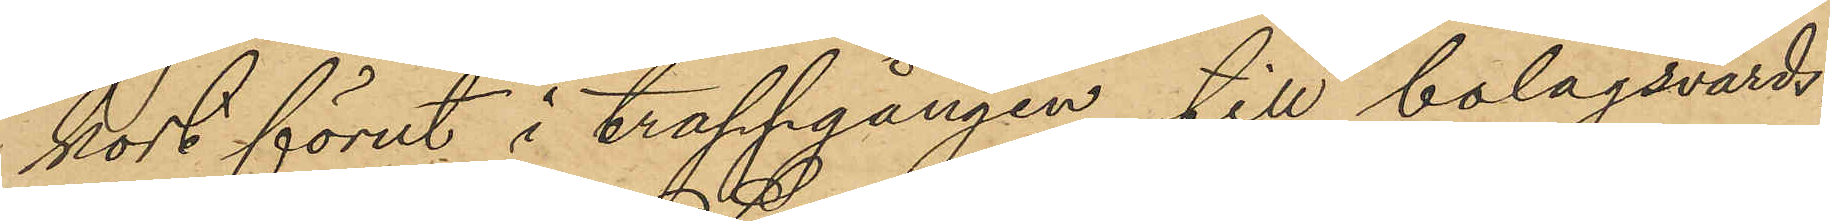kort förut i trappgången till bolagsvärds¬
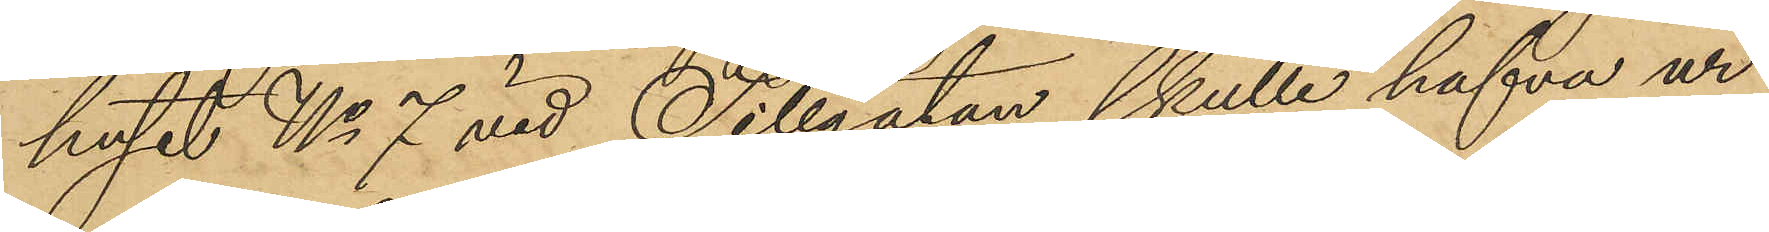huset No 7 vid Sillgatan skulle hafva ur
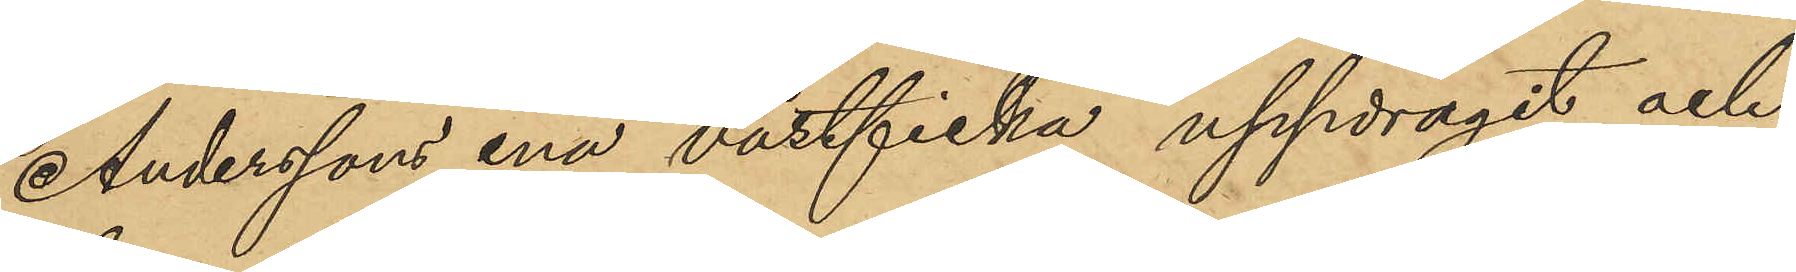Anderssons ena västficka uppdragit och
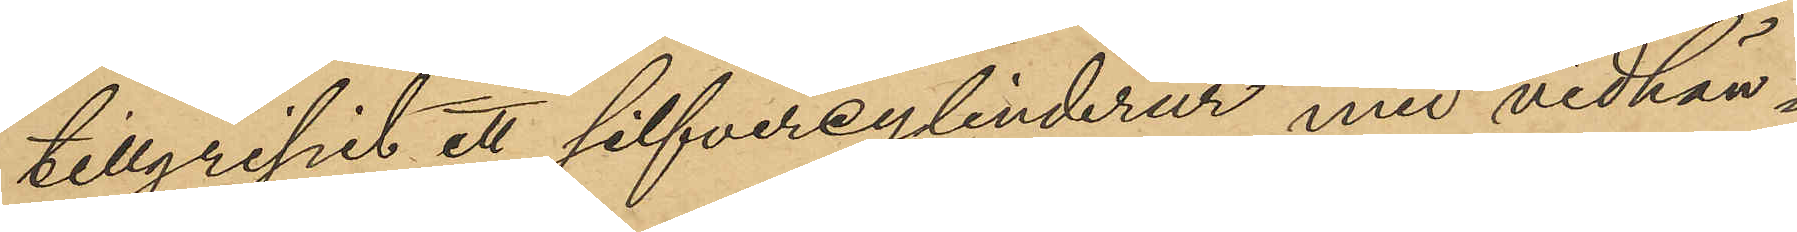tillgripit ett silfvercylinderur med vidhän¬
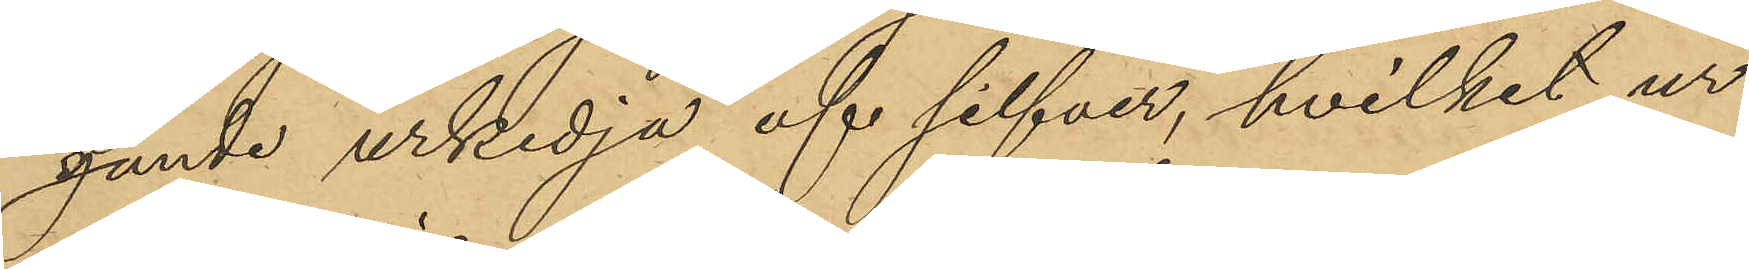gande urkedja af silfver, hvilket ur
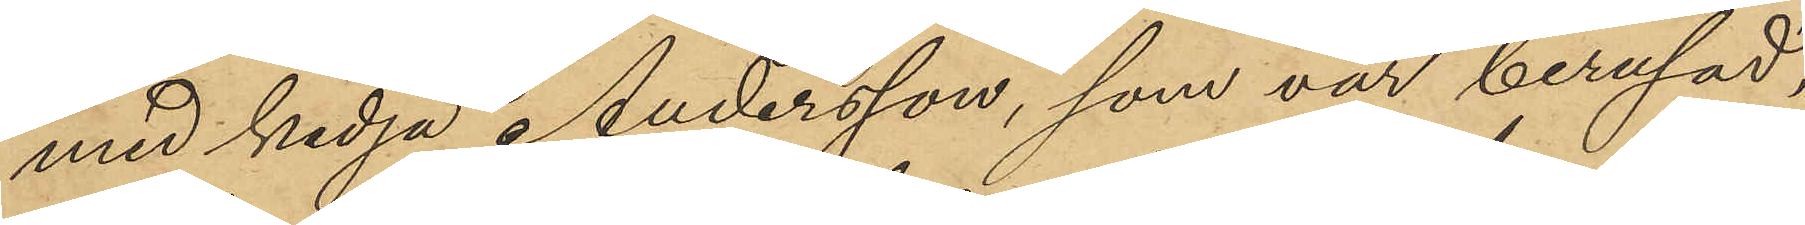med kedja Andersson, som var berusad,
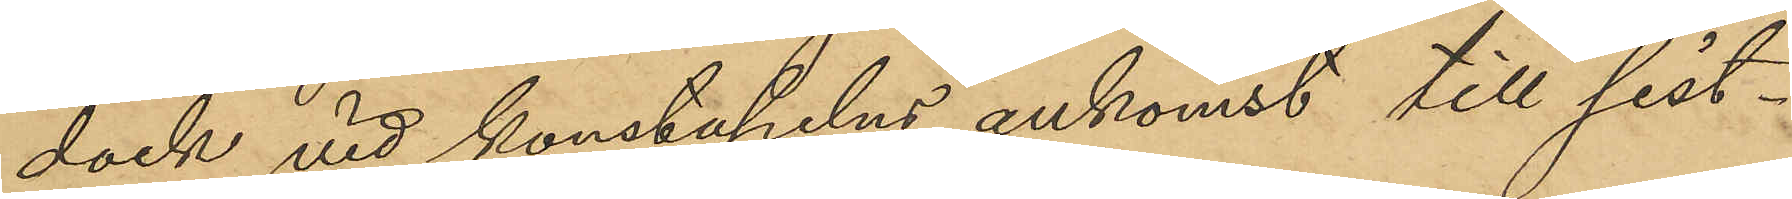dock vid konstapelns ankomst till sist¬
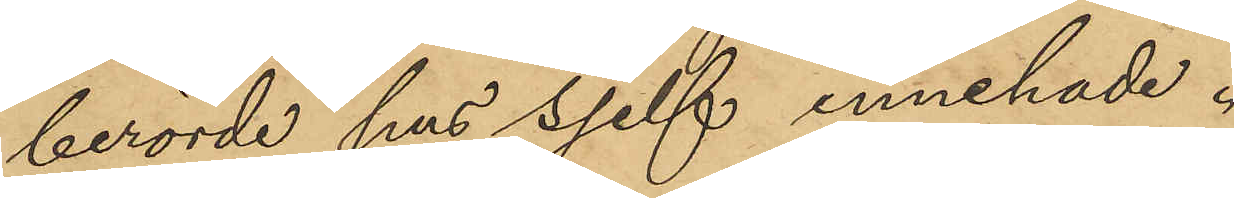berörde hus sjelf innehade.
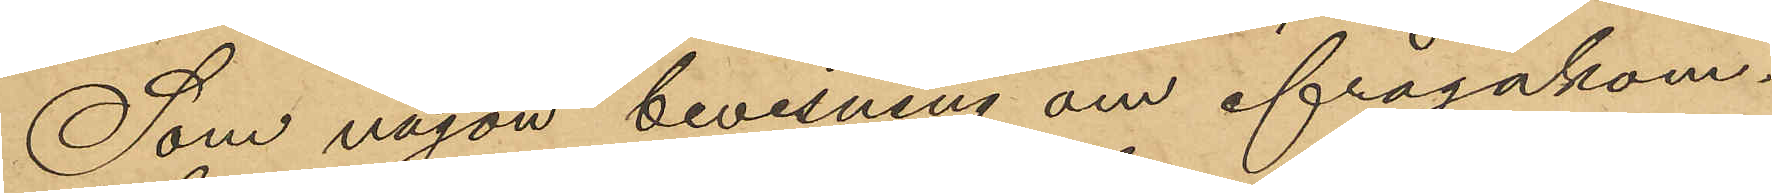Som någon bevisning om ifrågakom¬
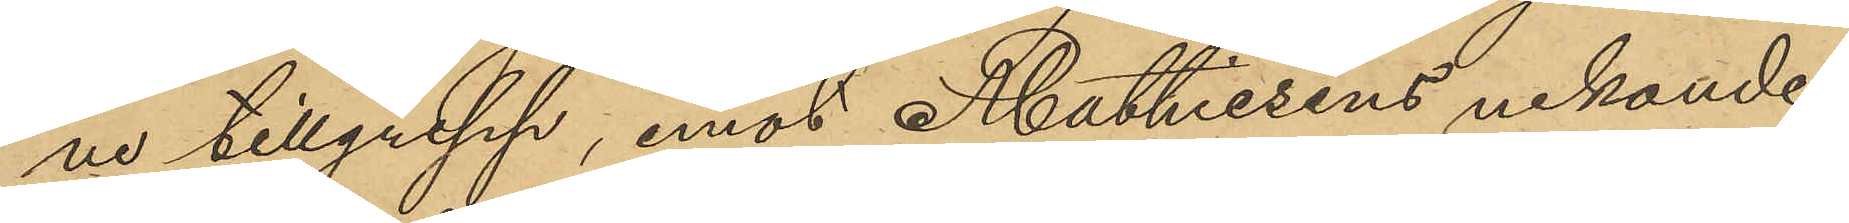ne tillgrepp, emot Mathiesens nekande,
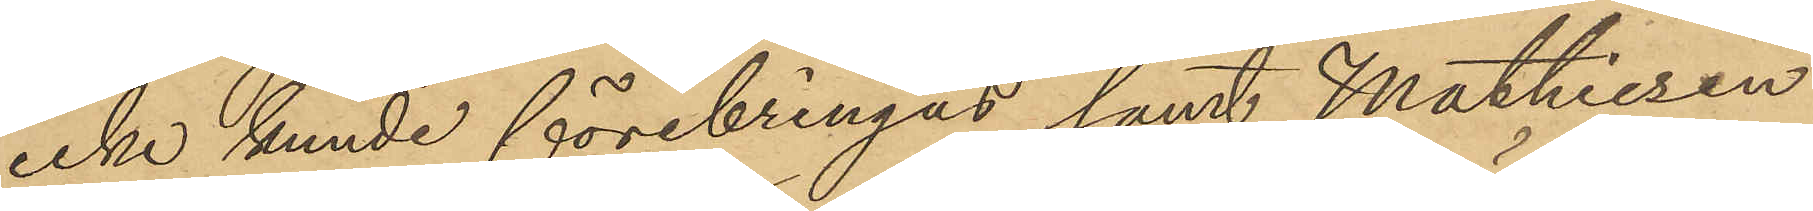icke kunde förebringas samt Mathiesen
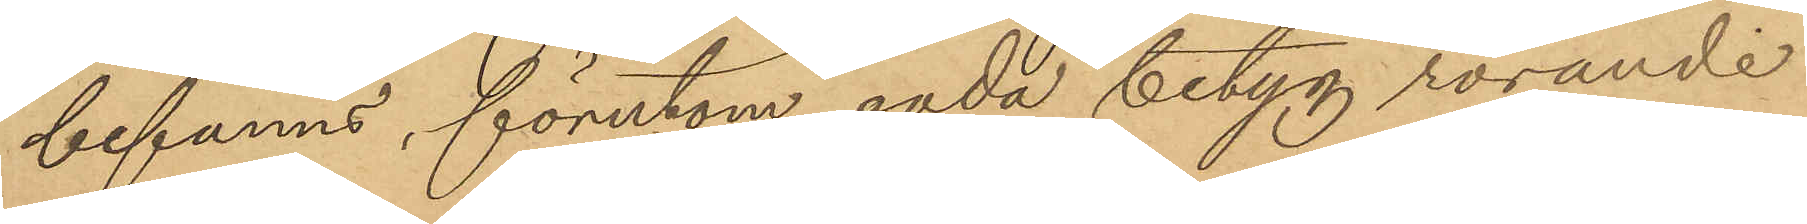befanns, förutom goda betyg rörande
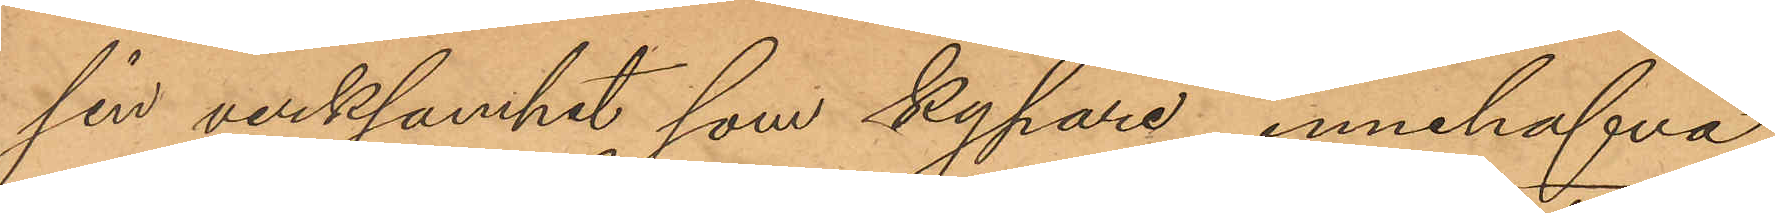sin verksamhet som kypare, innehafva
